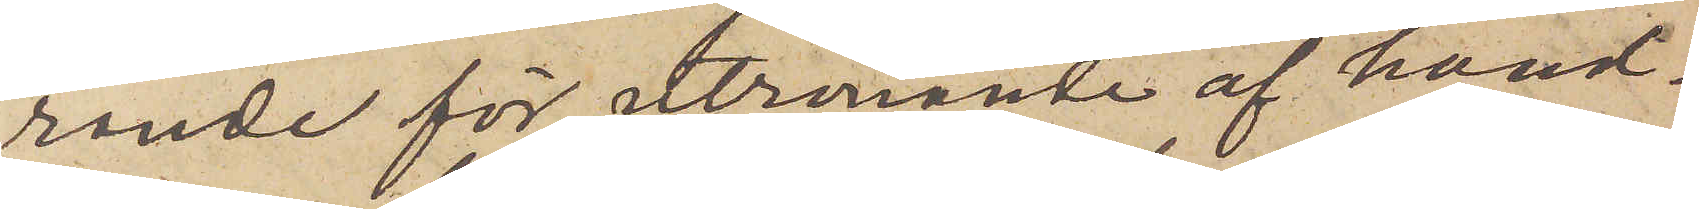rande för utrönande af hand¬
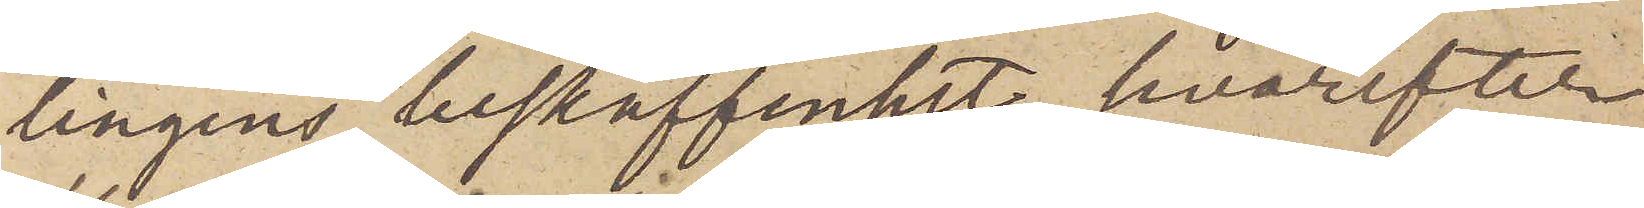lingens beskaffenhet, hvarefter
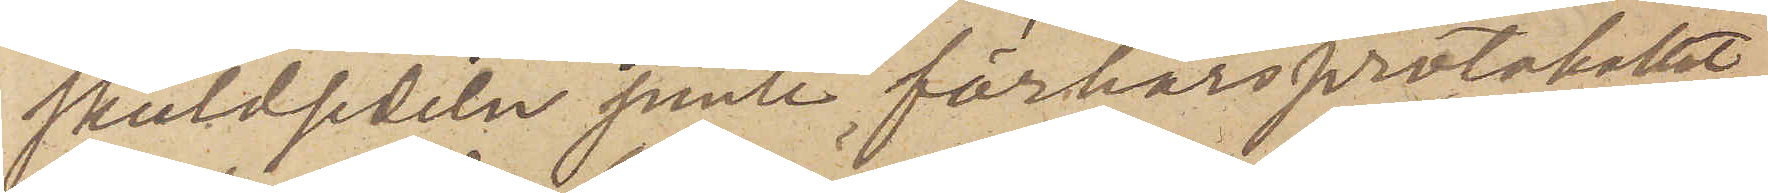skuldsedeln jemte förhörsprotokollet
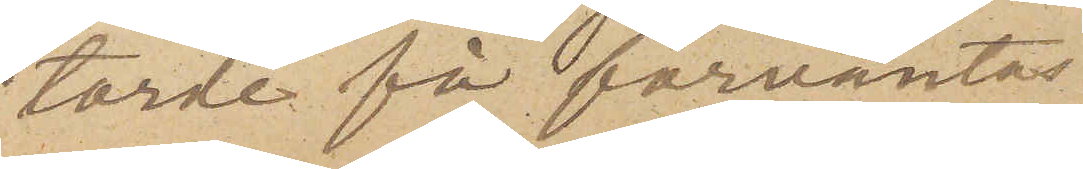torde få förväntas.
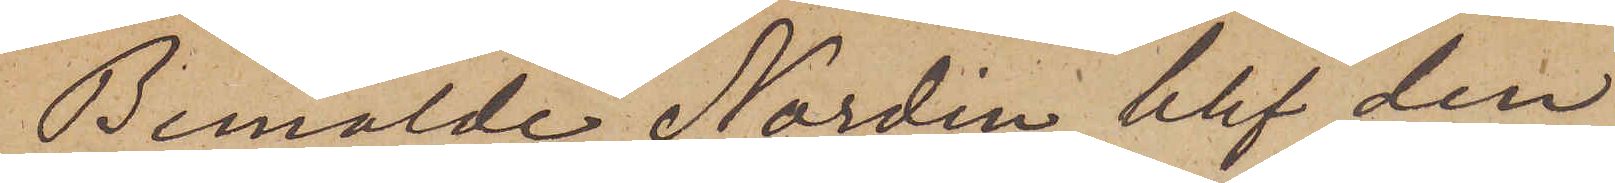Bemälde Nordin blef den
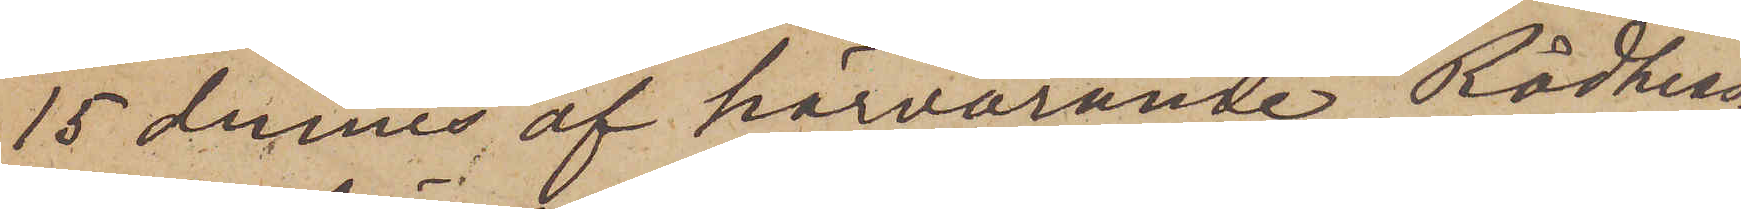15 dennes af härvarande Rådhus¬
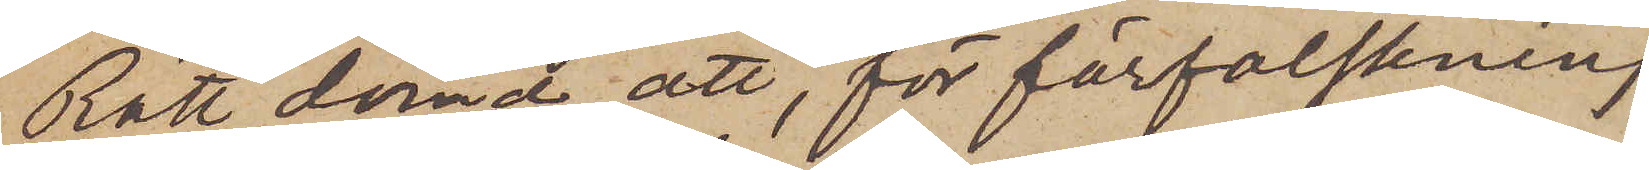Rätt dömd att, för förfalskning
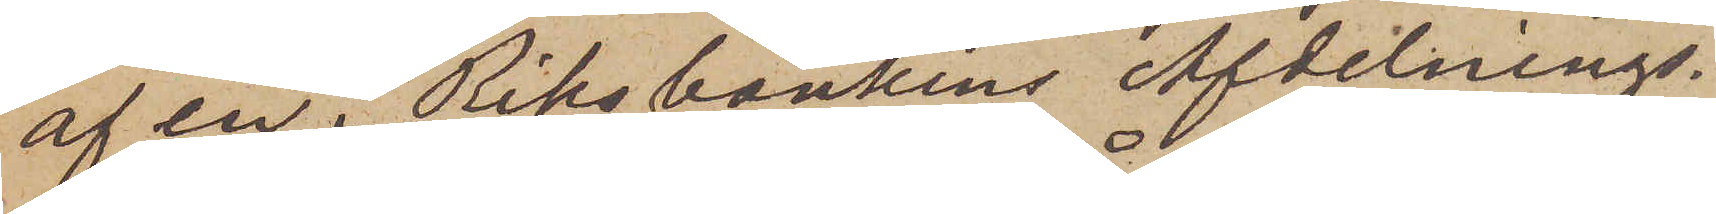af en i Riksbankens Afdelnings¬
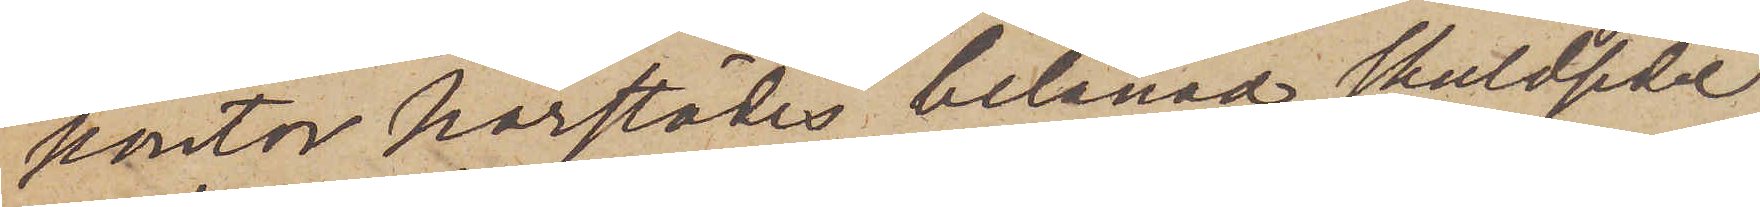kontor härstädes belånad skuldsedel
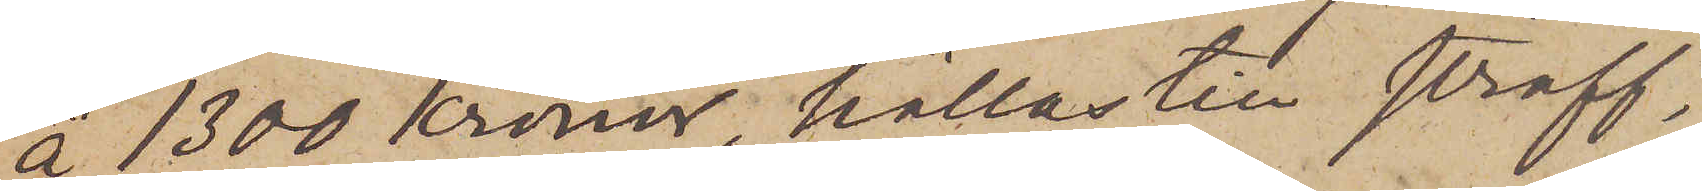å 1300 Kronor, hållas till straff¬
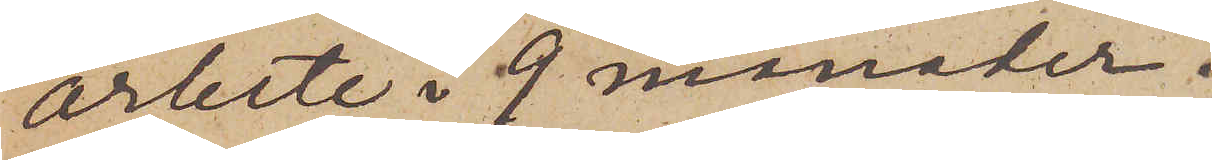arbete i 9 månader.
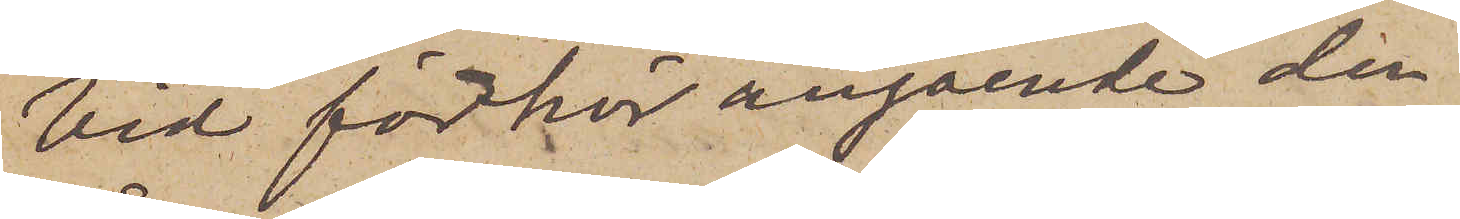Vid förhör angående den
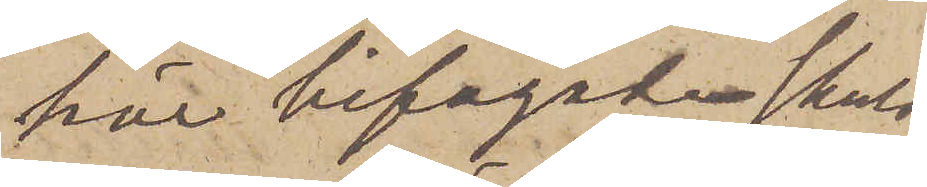här bifogade skuld¬
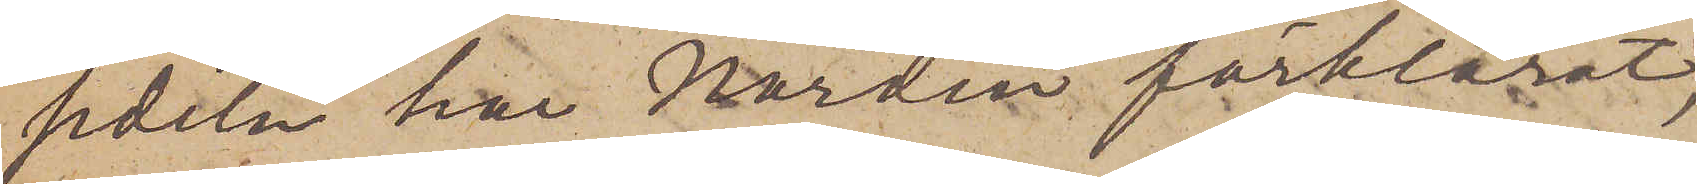sedeln har Nordin förklarat,
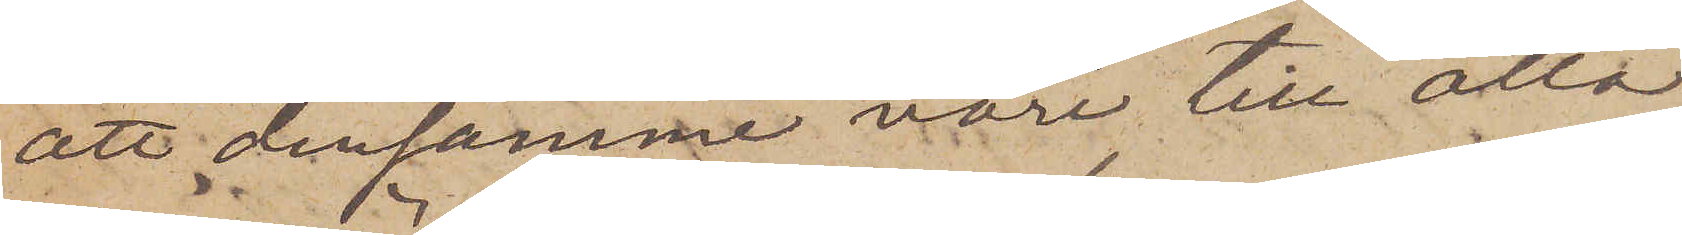att densamme vore till alla
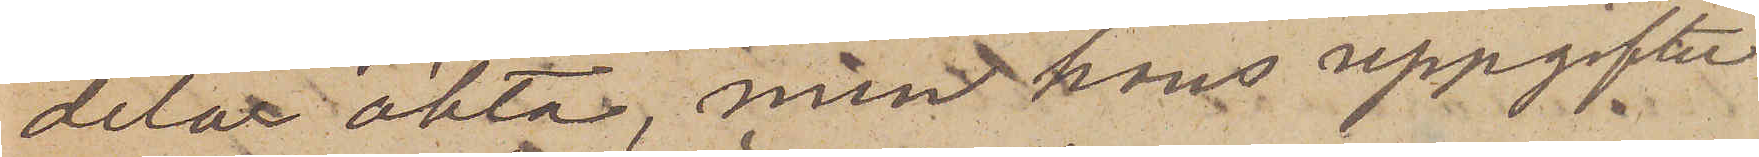delar äkta, men hans uppgifter
